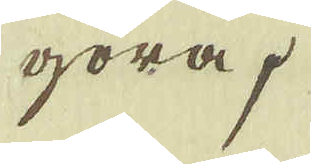göra.
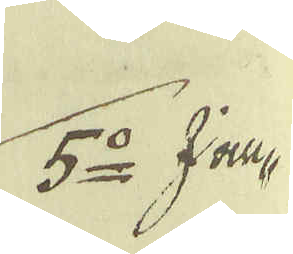5:o I an-
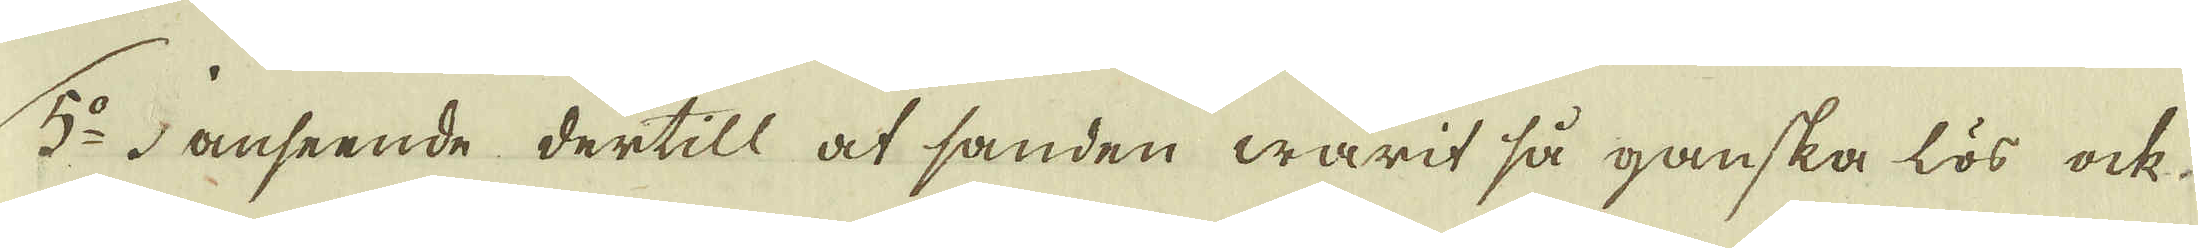145.
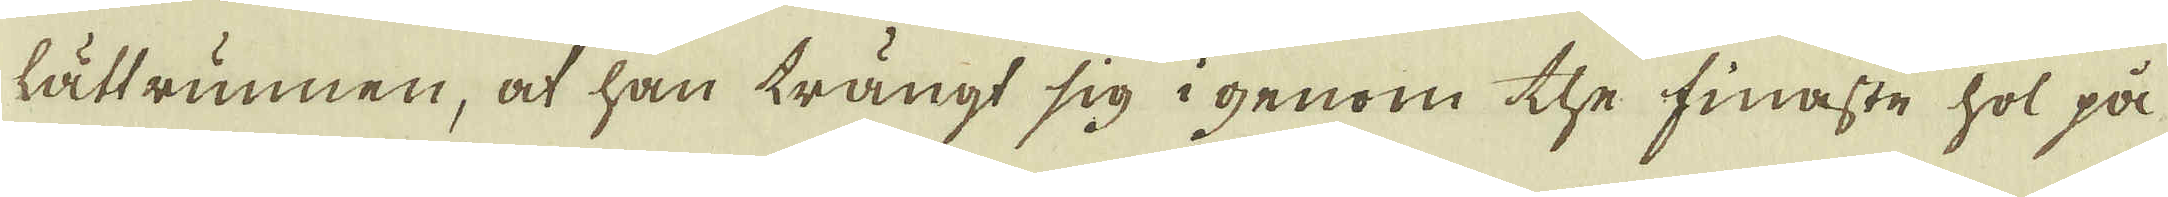5:o I anseende dertill at sanden warit så ganska lös ock
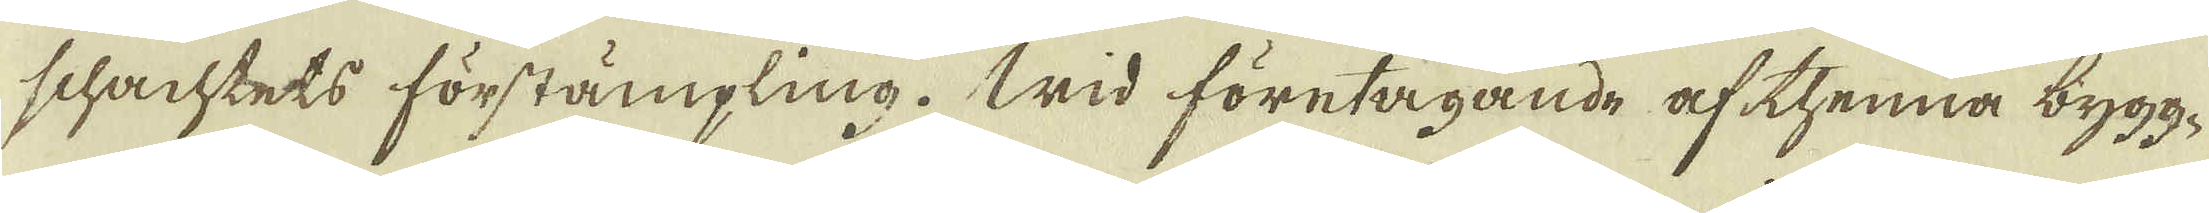lättrunnen, at han trängt sig i genom the finaste hol på
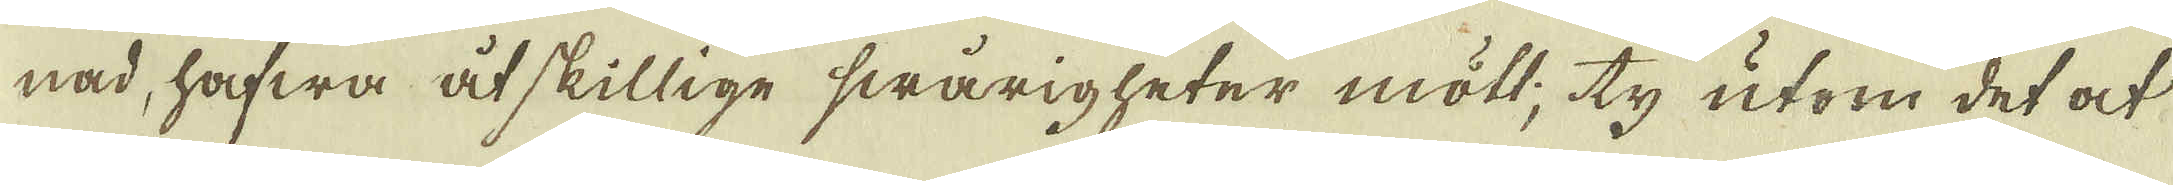schachtets förstämpling. Wid företagande af thenna bygg-
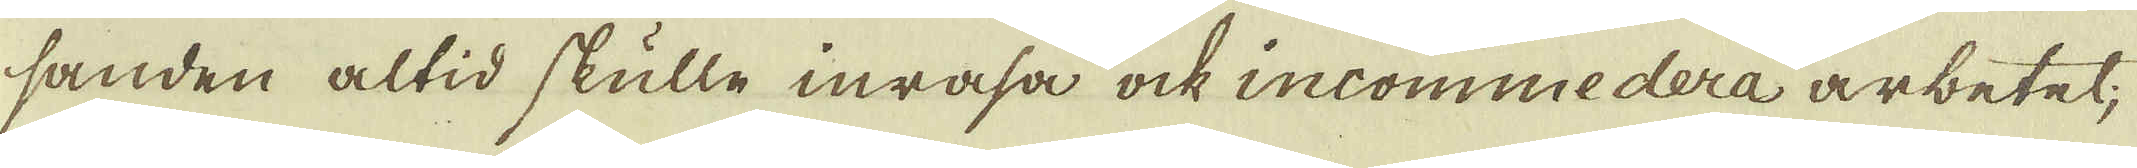nad, hafwa åtskillige swarigheter mött; ty utom det at
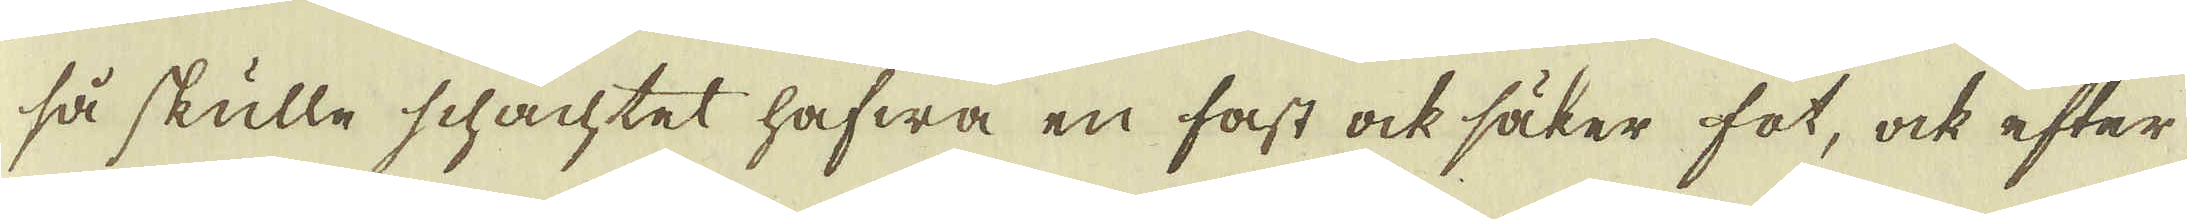sanden altid skulle inrasa ock incommedera arbetet;
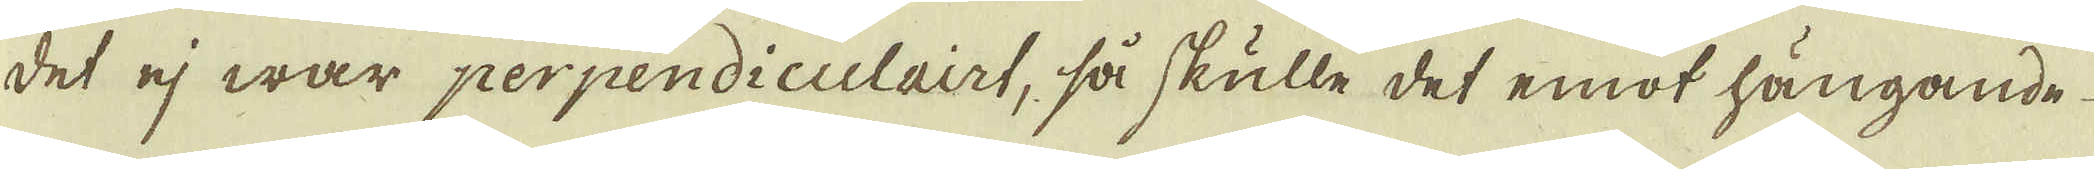så skulle schachtet hafwa en fast ock säker fot, ock efter
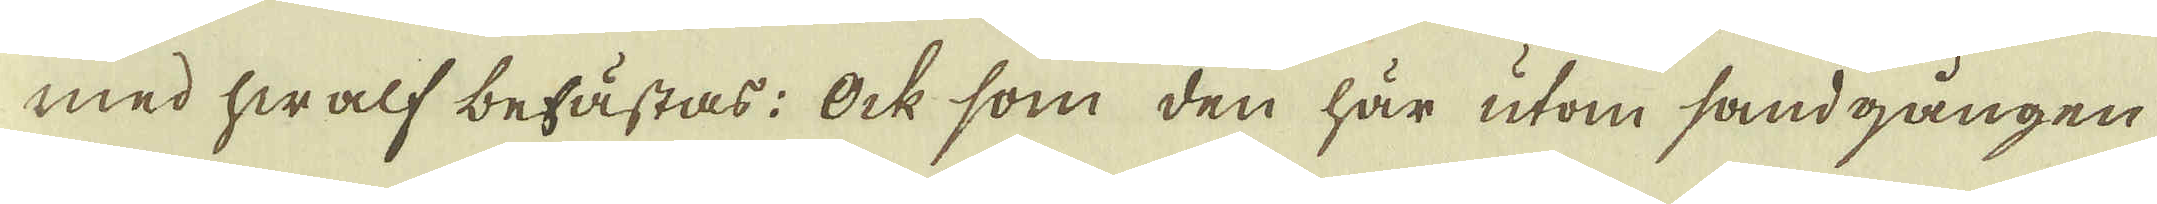det ej war perpendiculairt, så skulle det emot hängande
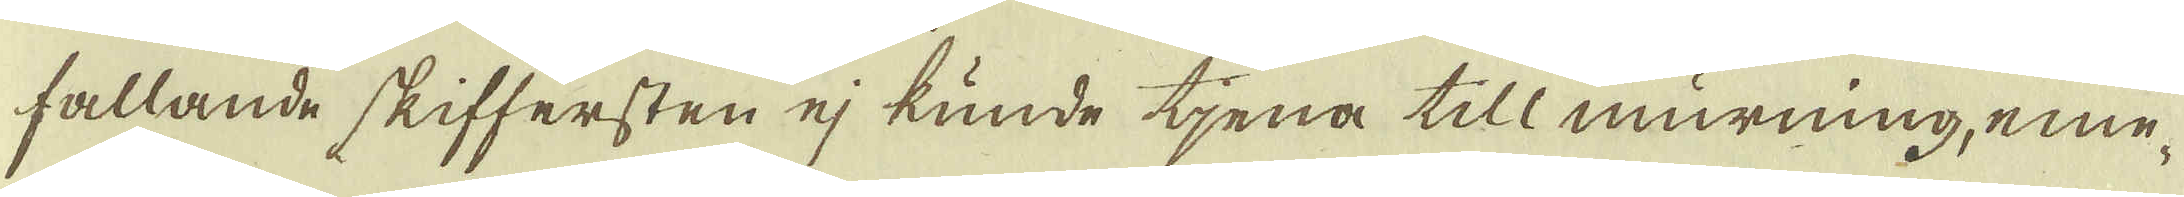med hwalf befästas: Ock som den här utom sandgången
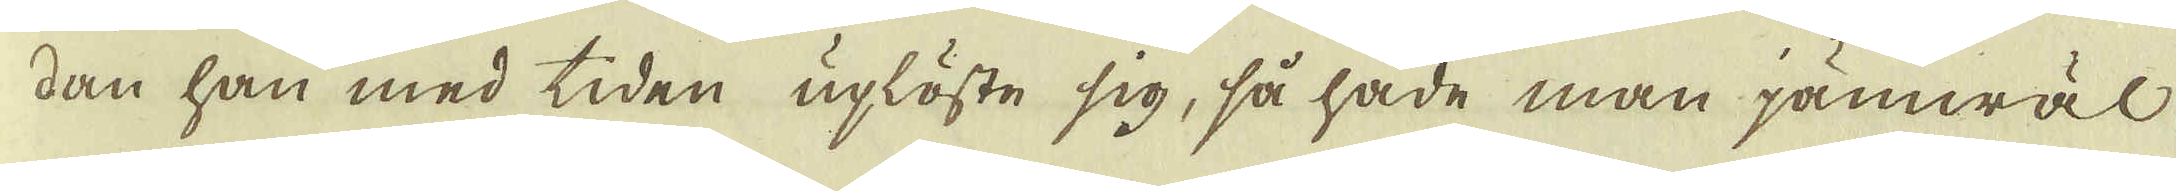fallande skiffersten ej kunde tjena till murning, eme-
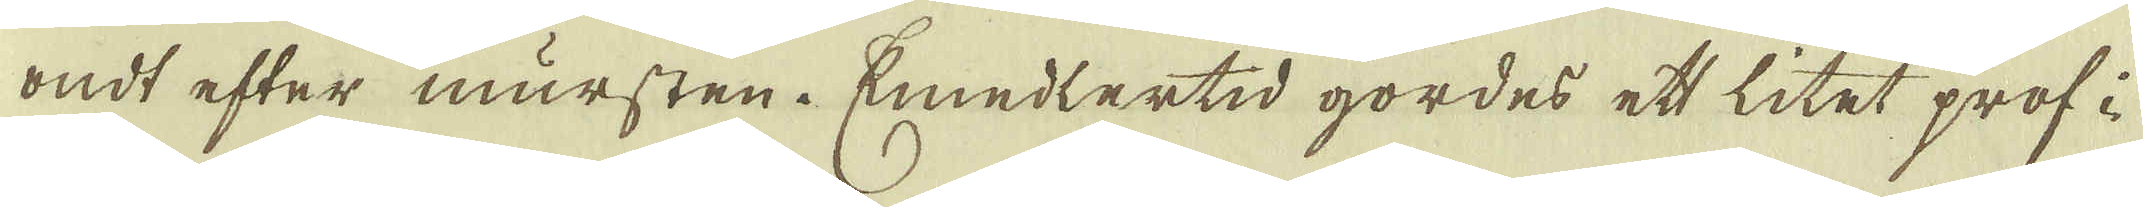dan han med tiden uplöste sig, så hade man jämwäl
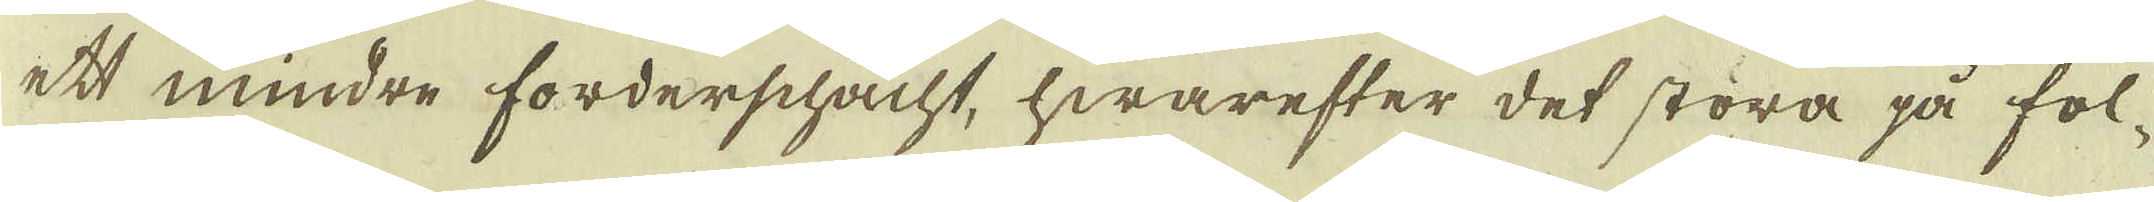ondt efter mursten. Emedlertid gordes ett litet prof i
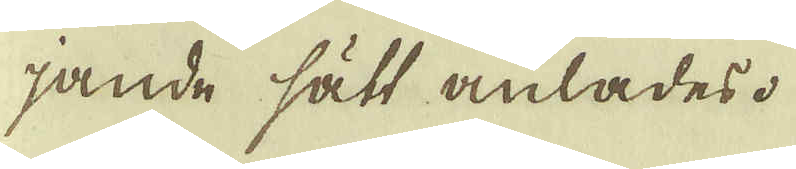ett mindre forderschacht, hwarefter det störa på föl-
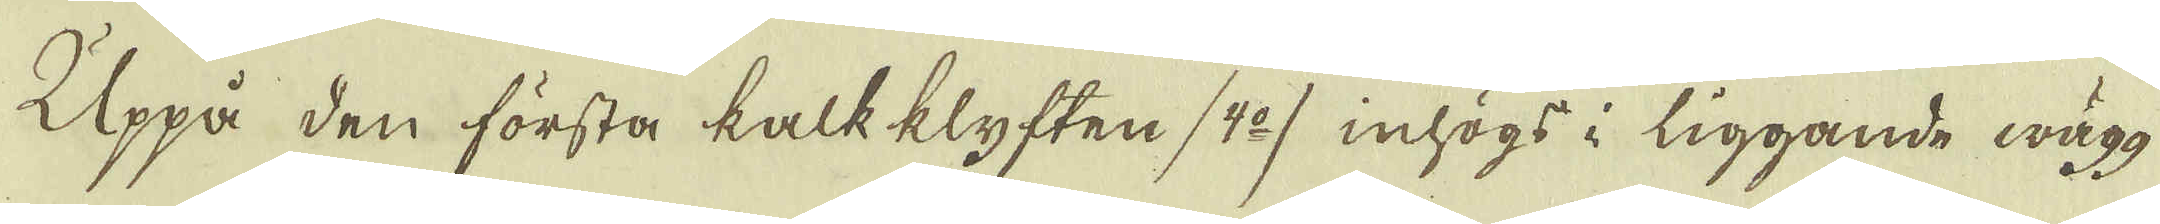jande sätt anlades.
